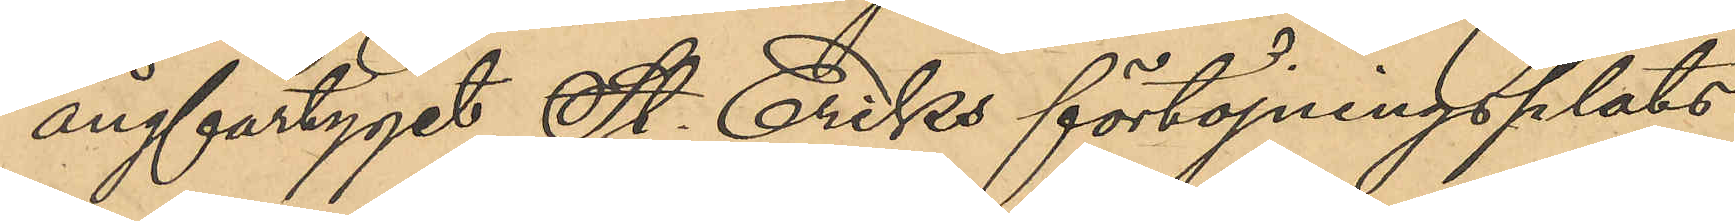ångfartyget St. Eriks förtöjningsplats
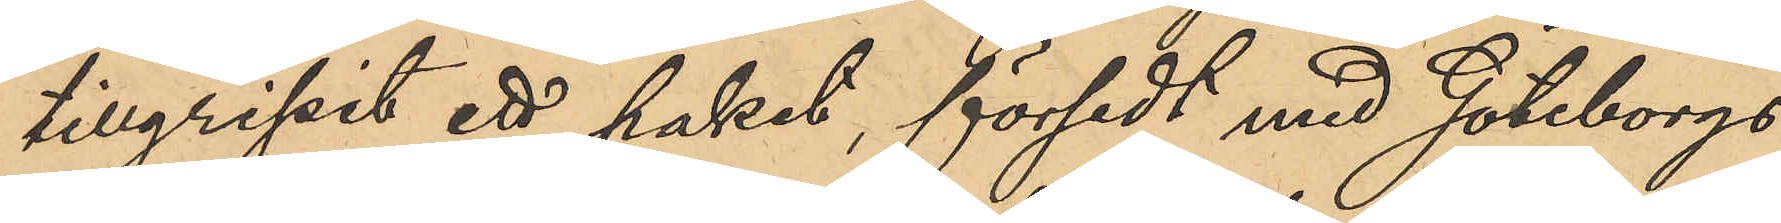tillgripit ett paket, försedt med Göteborgs
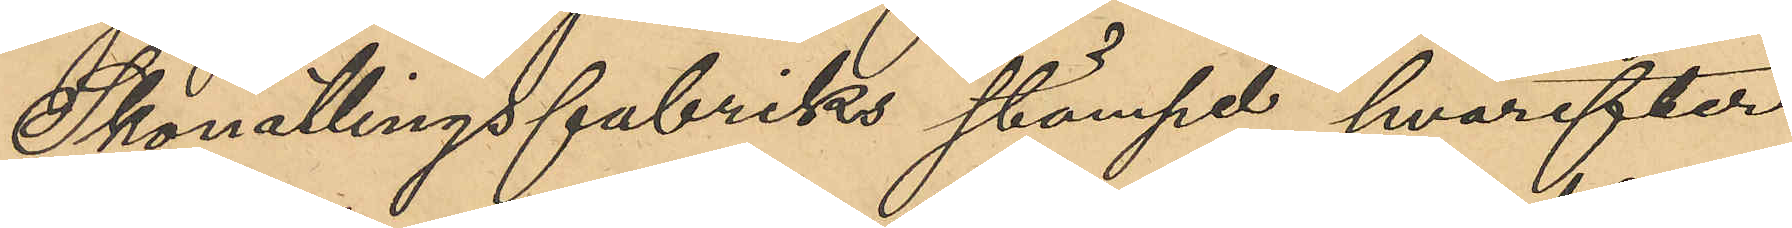Skonåtlingsfabrik stämpel, hvarefter
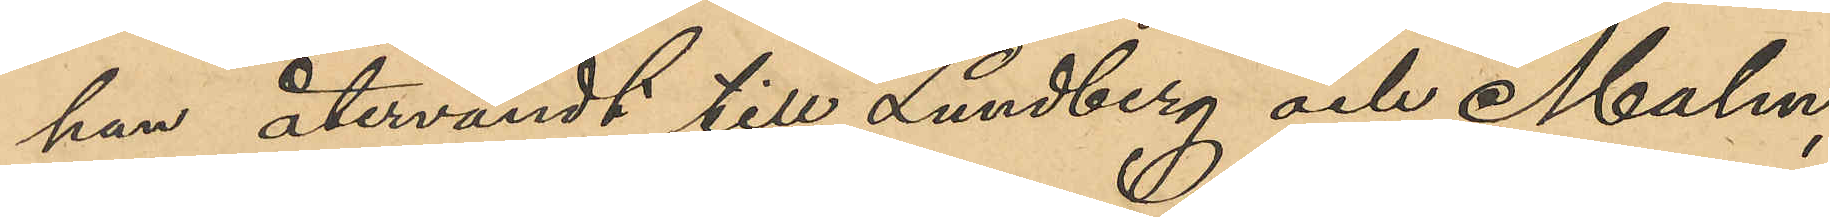han återvändt till Lundberg och Malm,
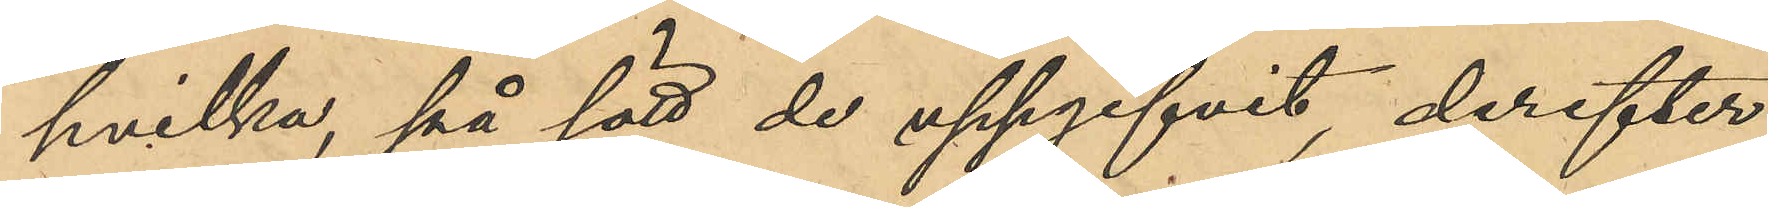hvilka på sätt de uppgifvit, derefter
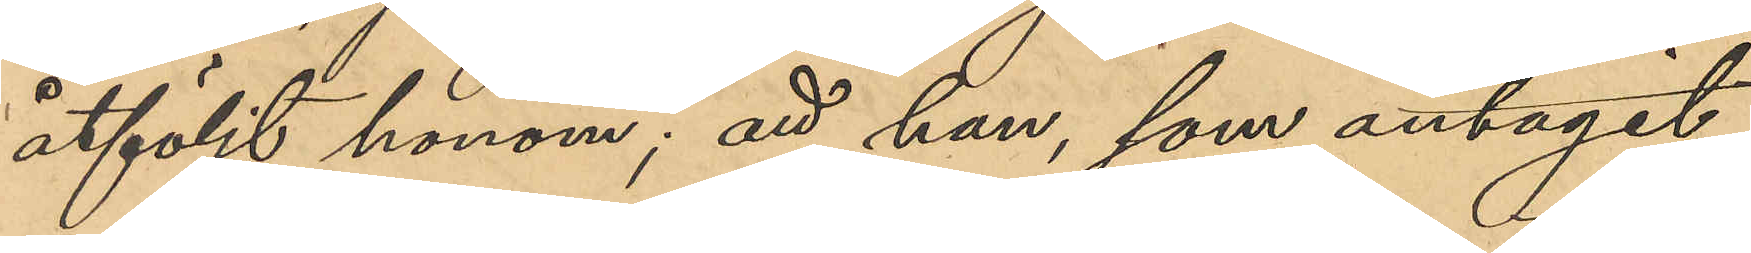åtföljt honom; att han, som antagit
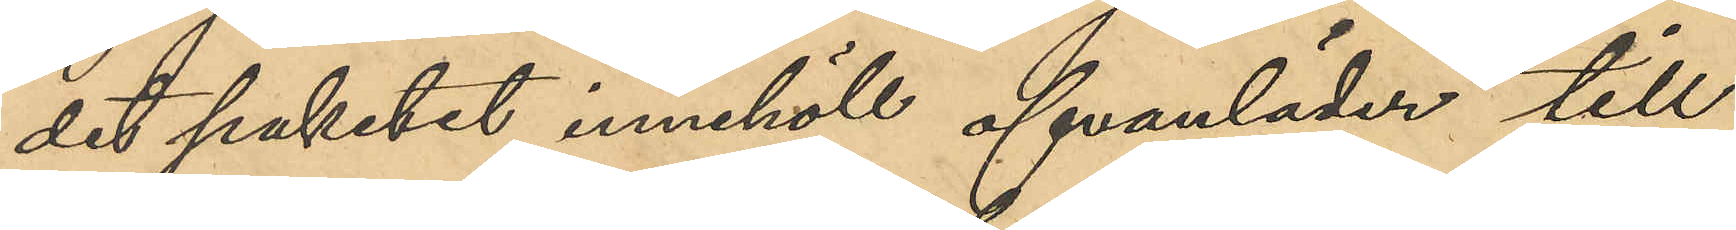det paketet innehöll ofvanläder till
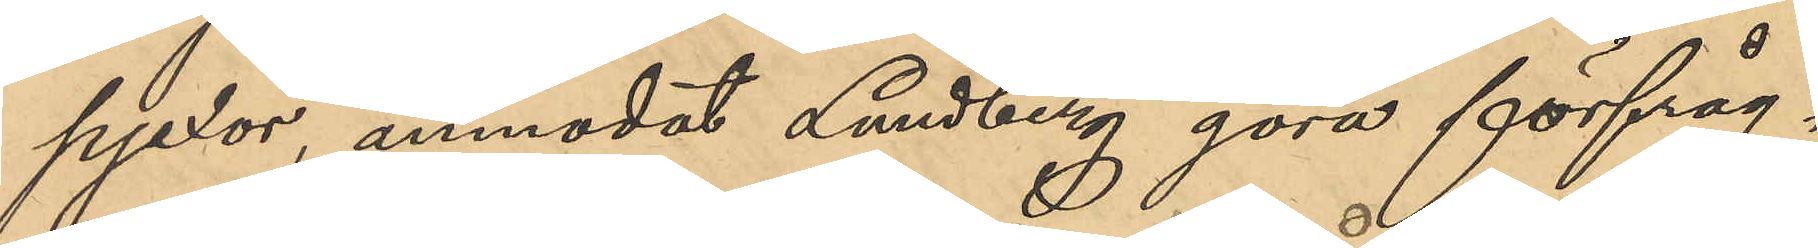pjexor, anmodat Lundberg göra förfråg¬
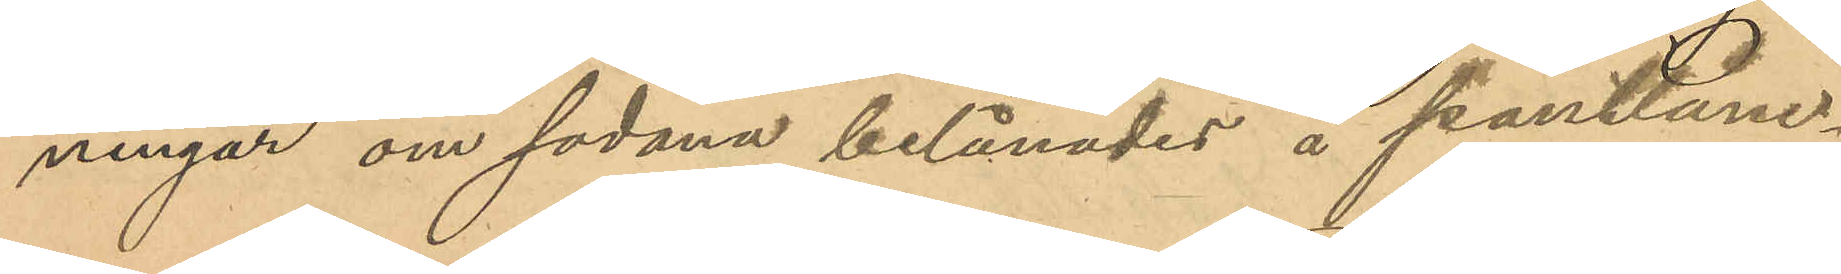ningar om sådana belånades å Pantlåne¬
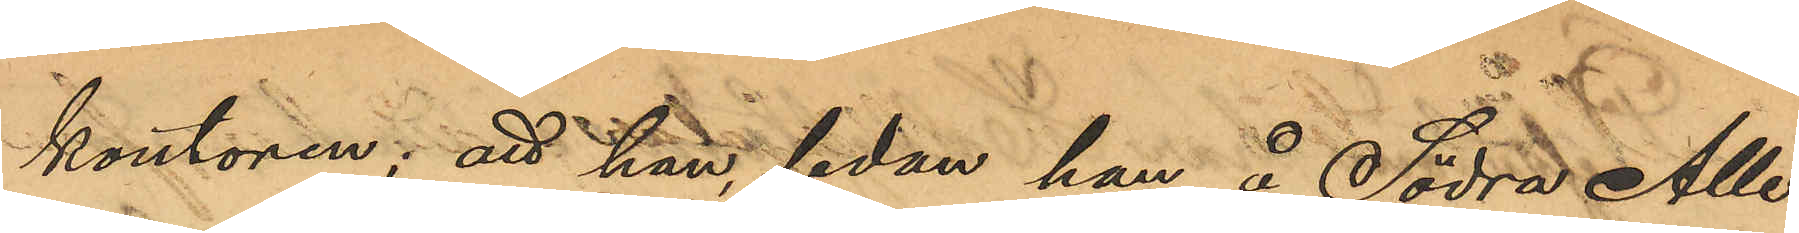kontoren; att han sedan han å Södra Allé¬
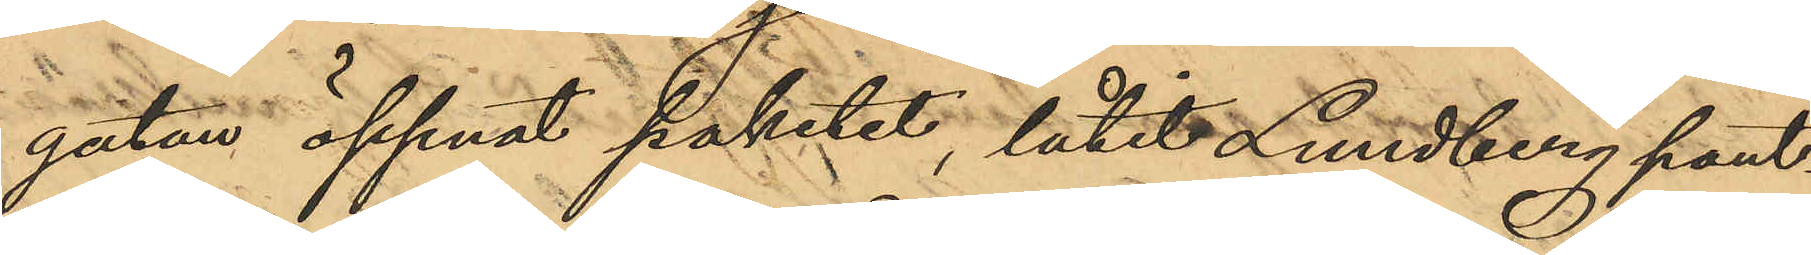gatan öppnat paketet, låtit Lundberg pant¬
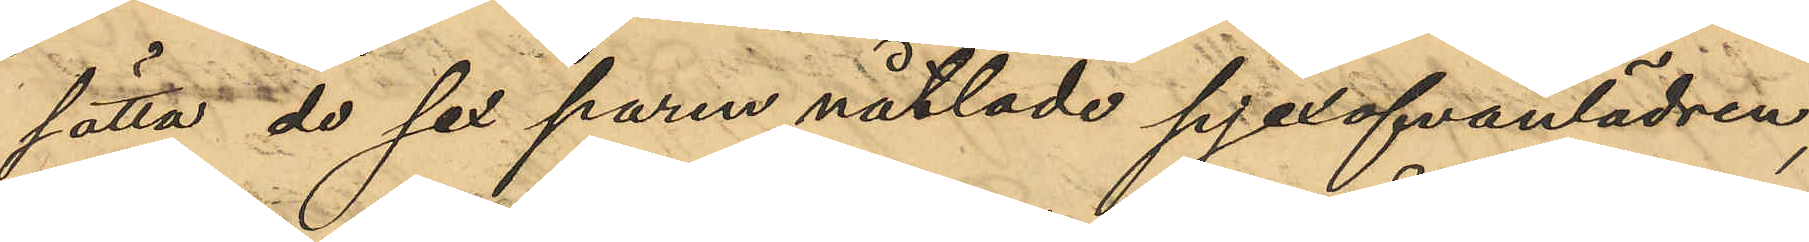sätta de sex paren nåtlade pjexofvanlädren;
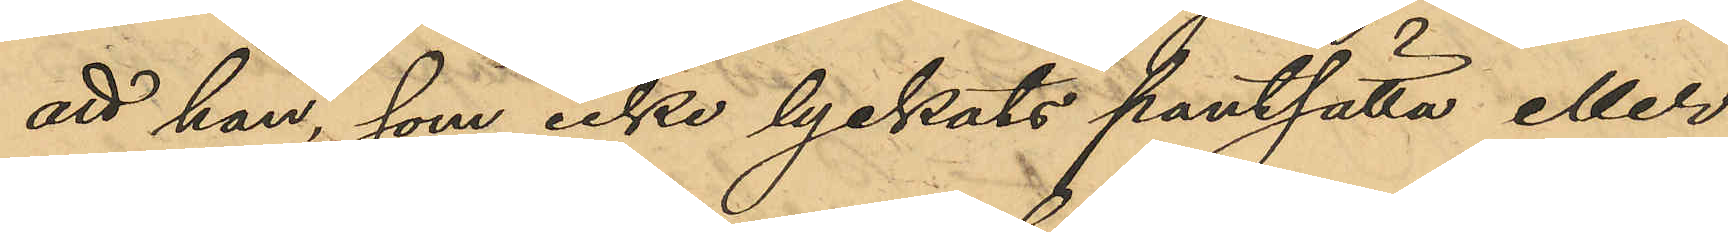att han, som icke lyckats pantsätta eller
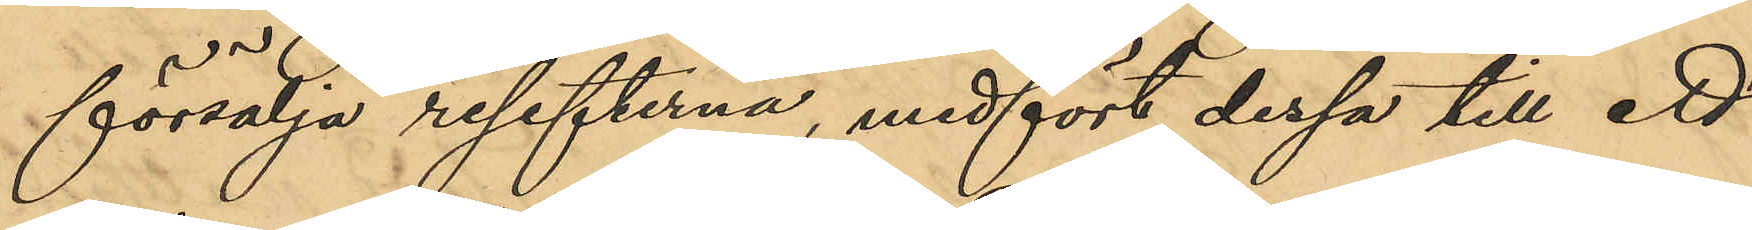försälja resefterna, medfört dessa till ett
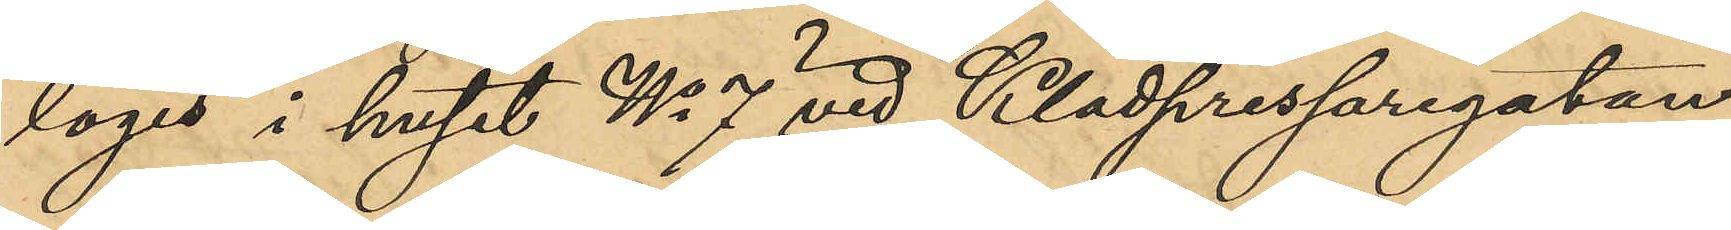logis i huset No 7 vid Klädpressargatan,
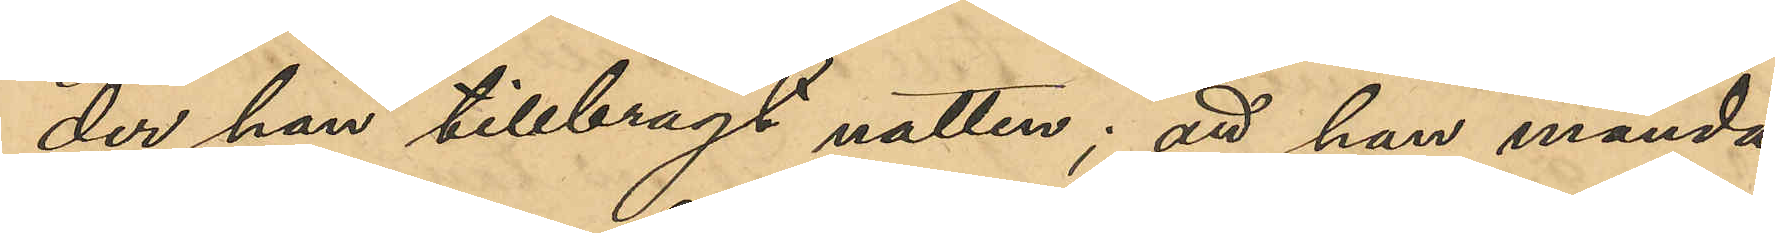der han tillbragt natten; att han månda¬
